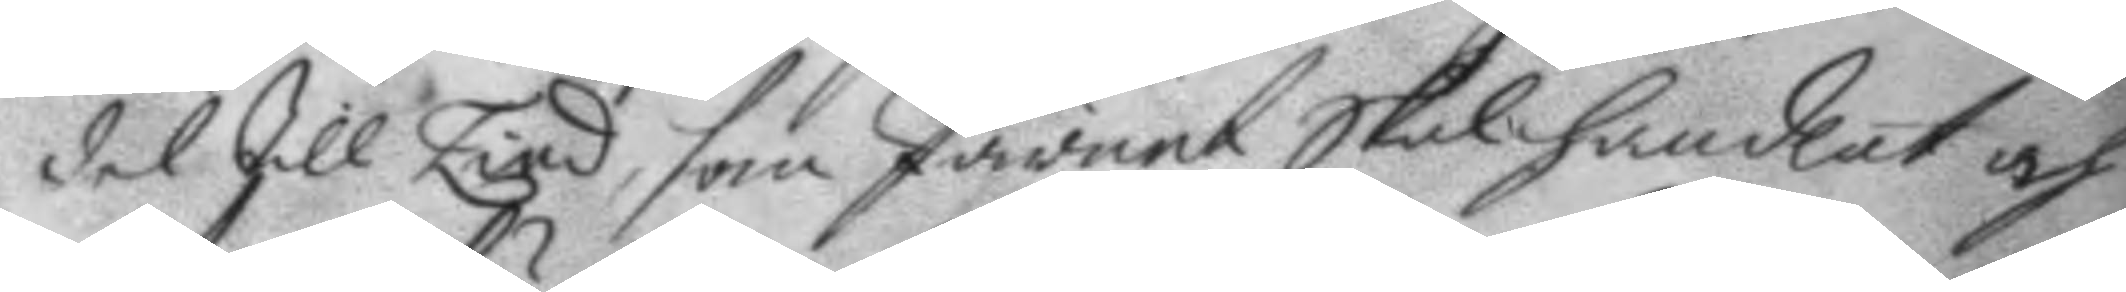det till Lind, som Järnet skal handlat och
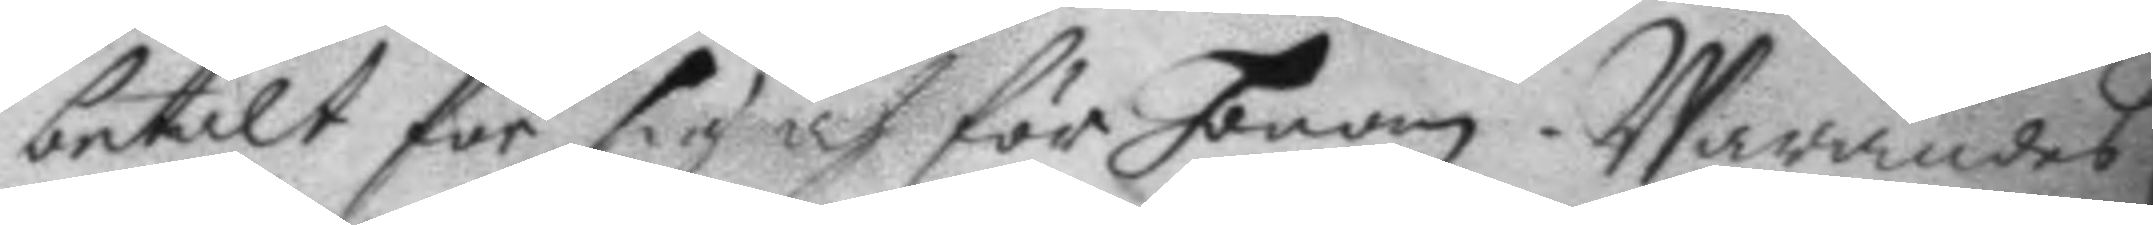betalt för sig och för honom. Warandes
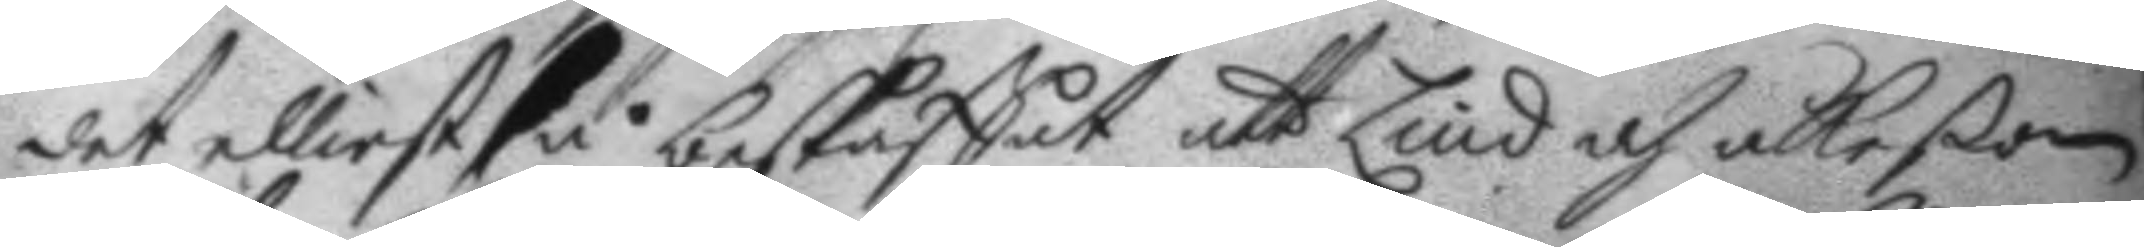det elliest så beskaffat att Lind och åkeßon
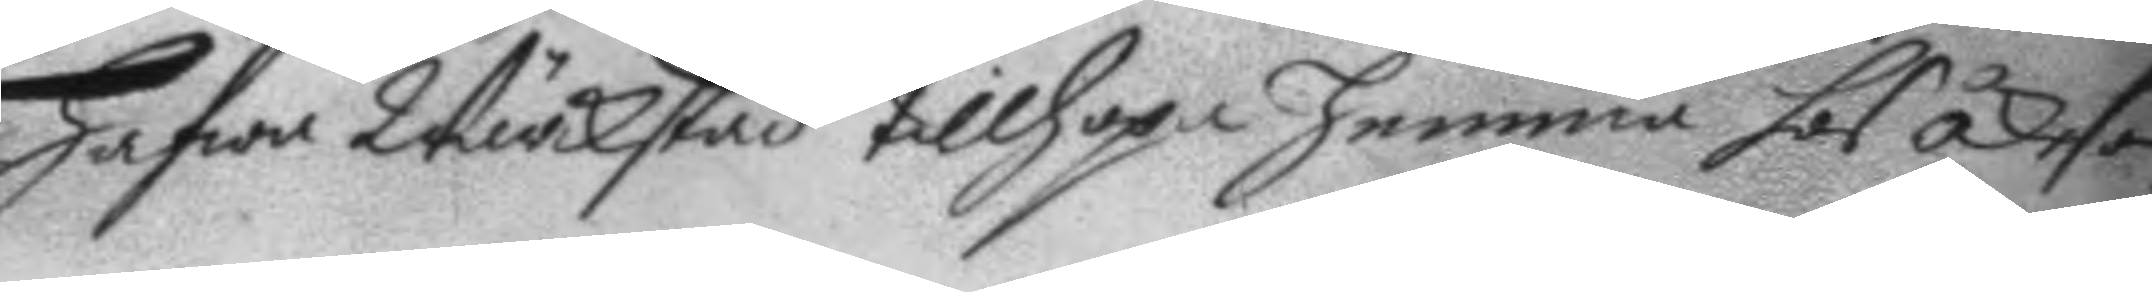hafwa Wärckstad tillhopa hemma hos åkeson
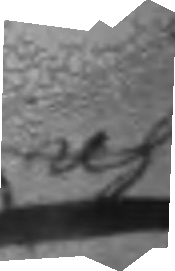och
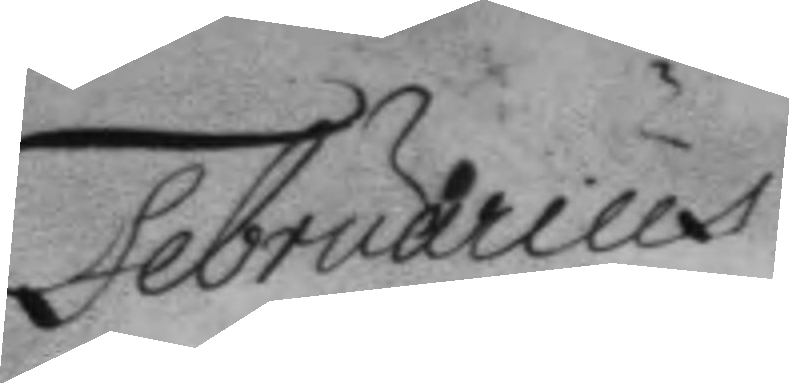Februarius
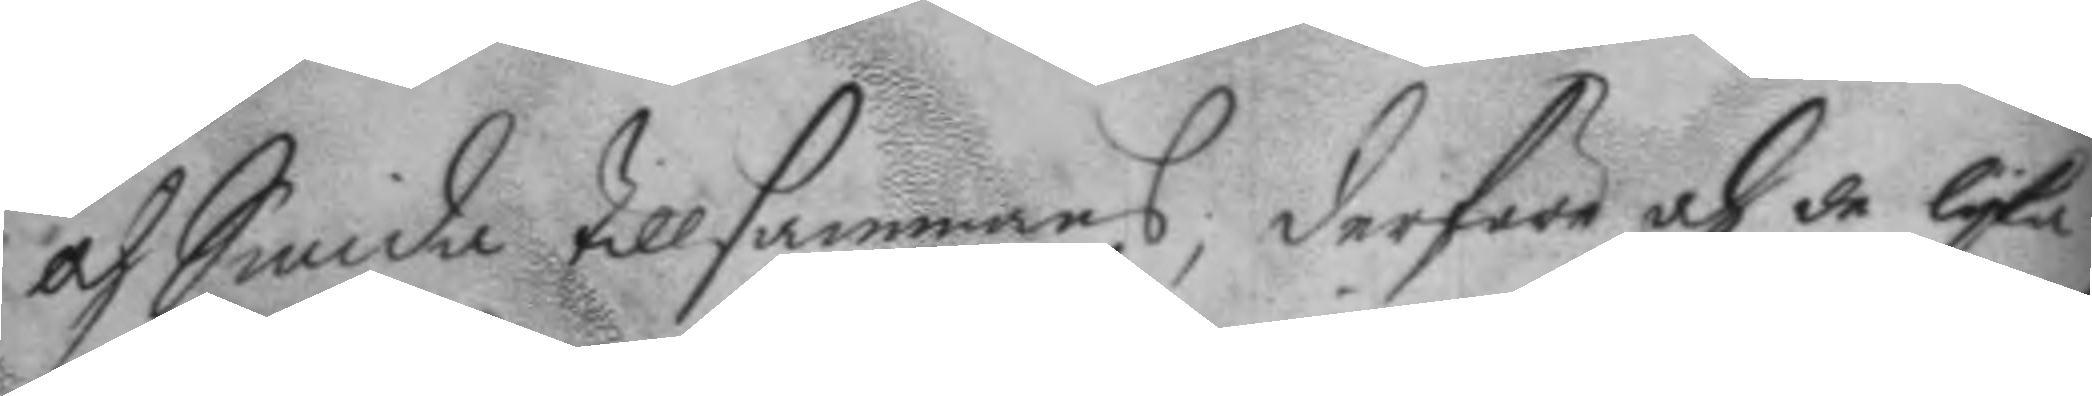och Smida tillsammans, derföre och de lyka
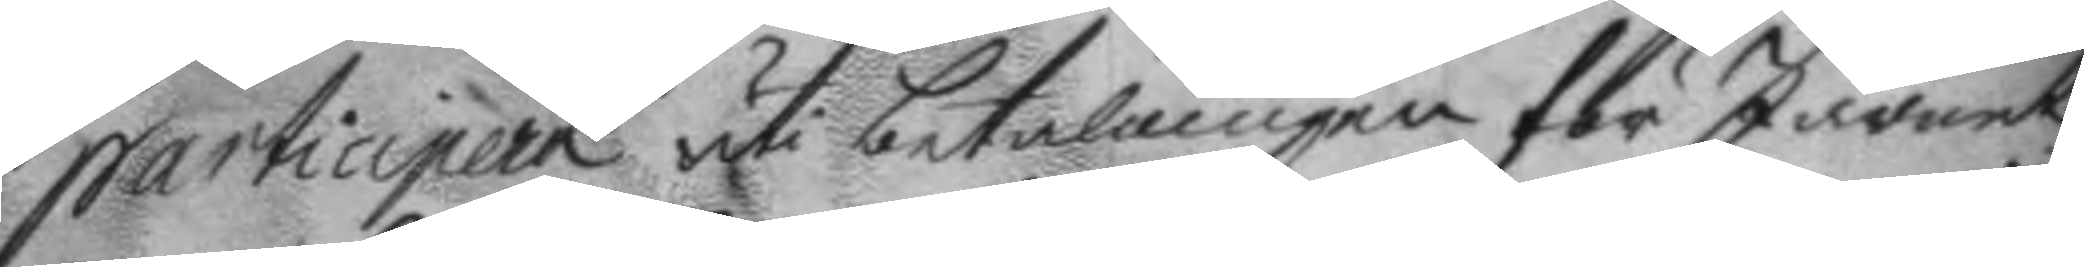participera uti betalningen för Järnet
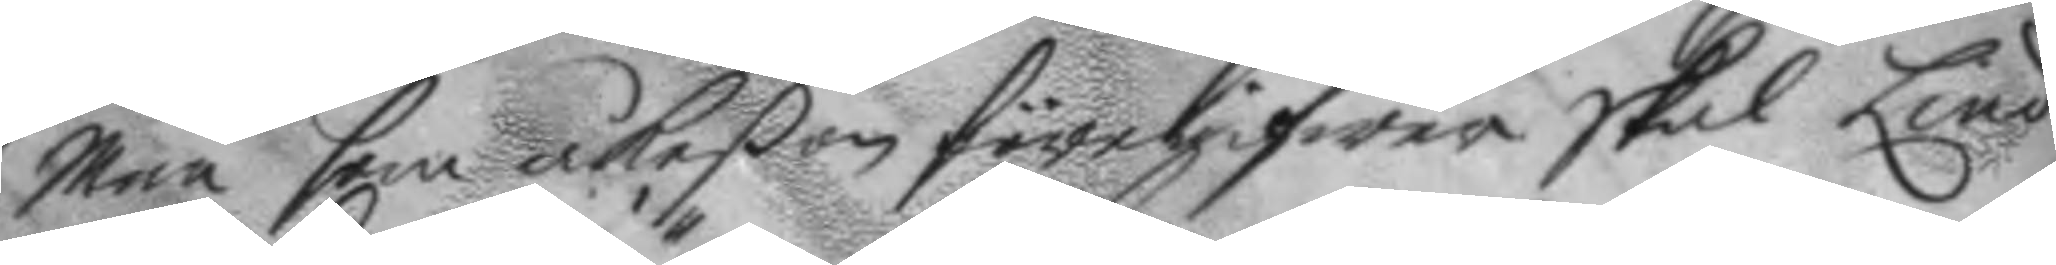Men som åkeßon föregifwer skal Lind
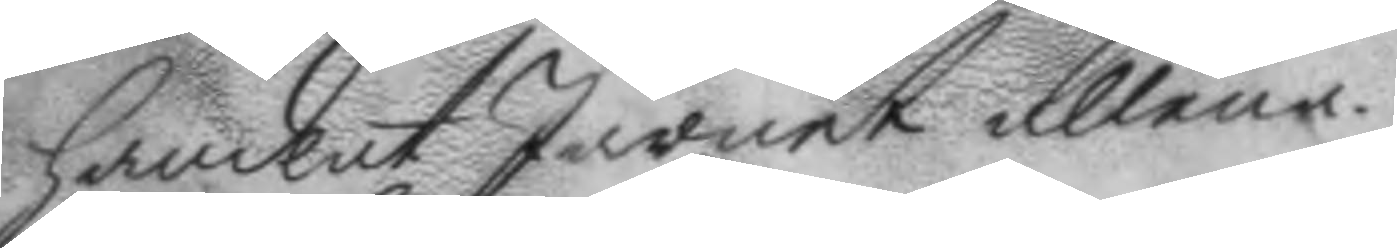handlat Järnet allena.
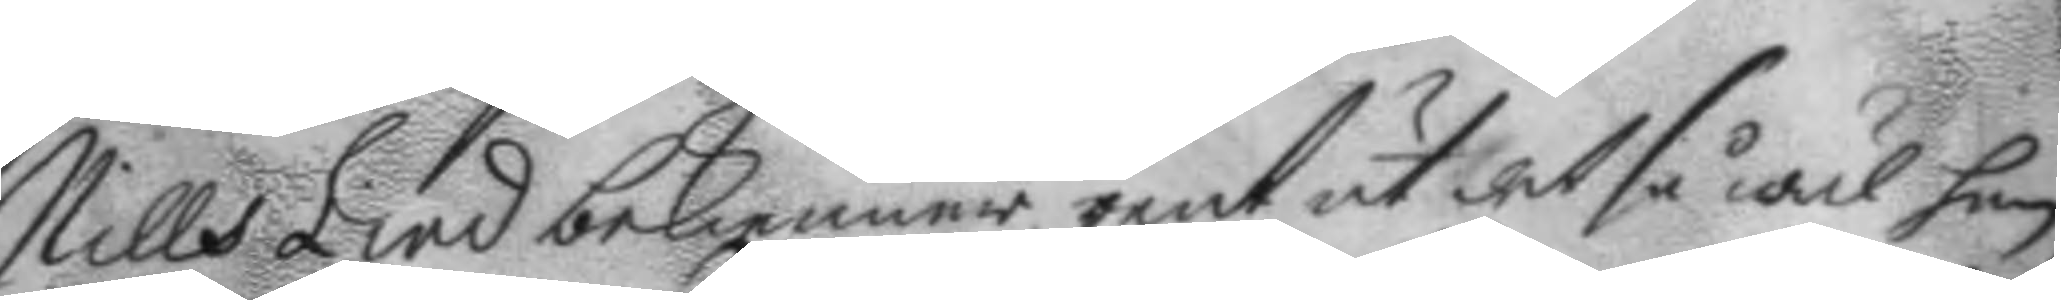Nills Lind bekienner rent ut det så wäl han
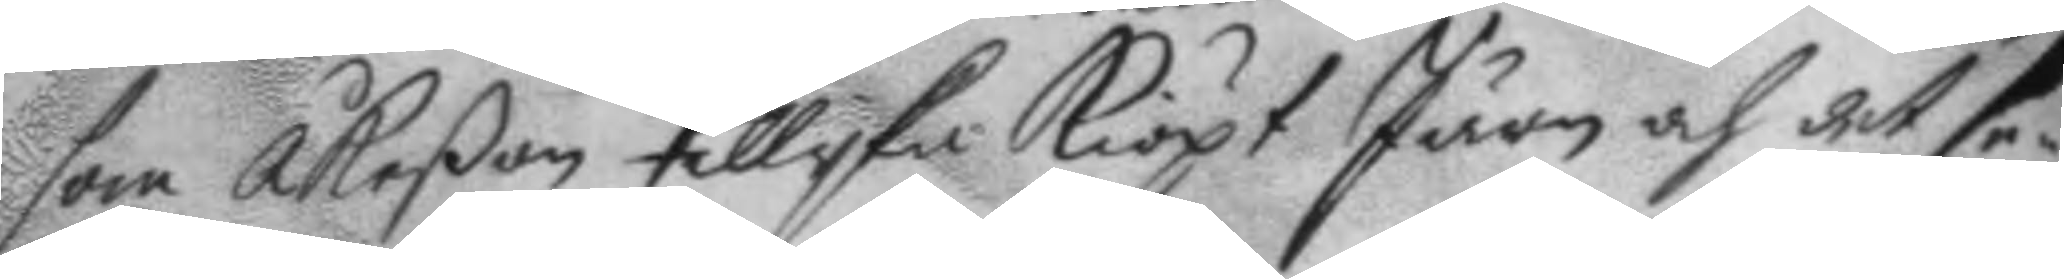som Åkeßon tillyka kiöpt Järn och det se¬
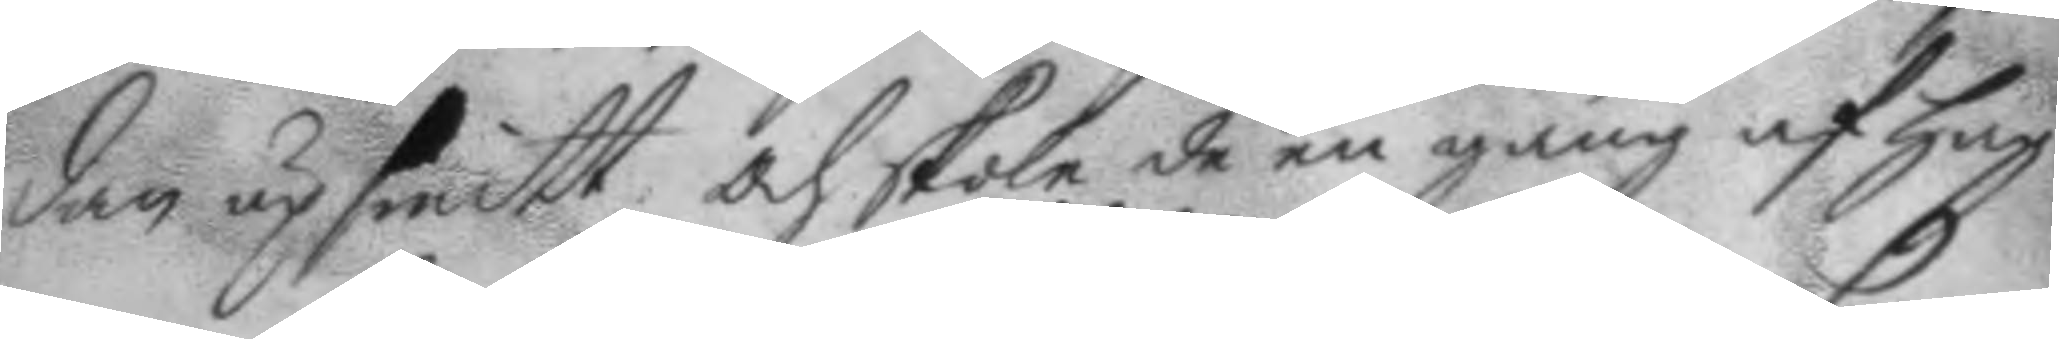dan up smitt, och skole de en gång af hag¬
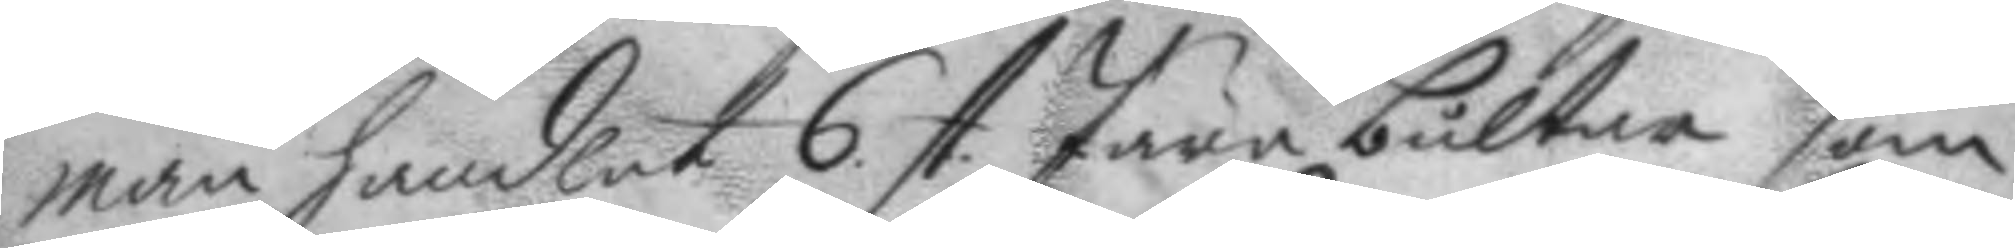man handlat 6. st. Järn bultar som 
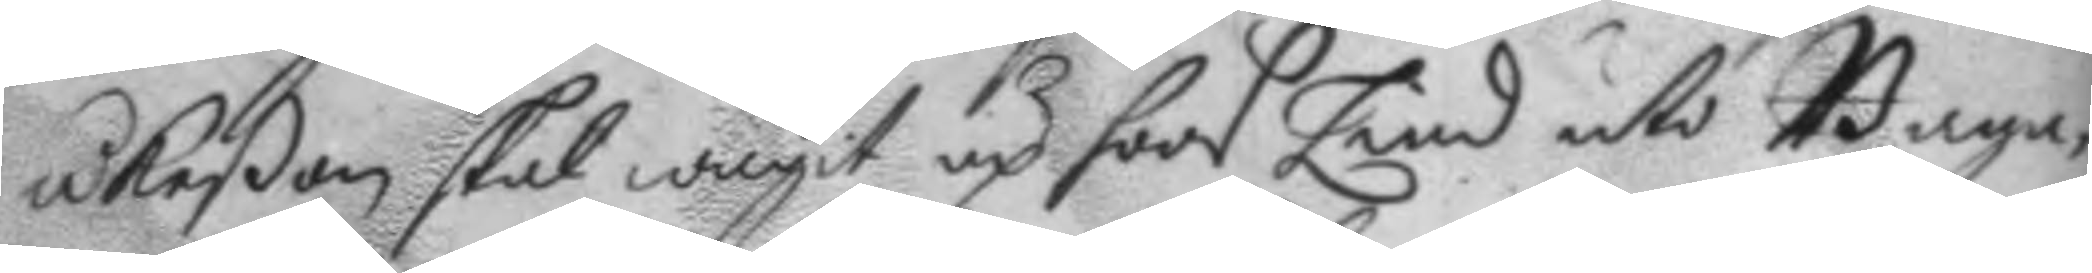åkeßon skal wägit up hoos Lind uti Baga¬
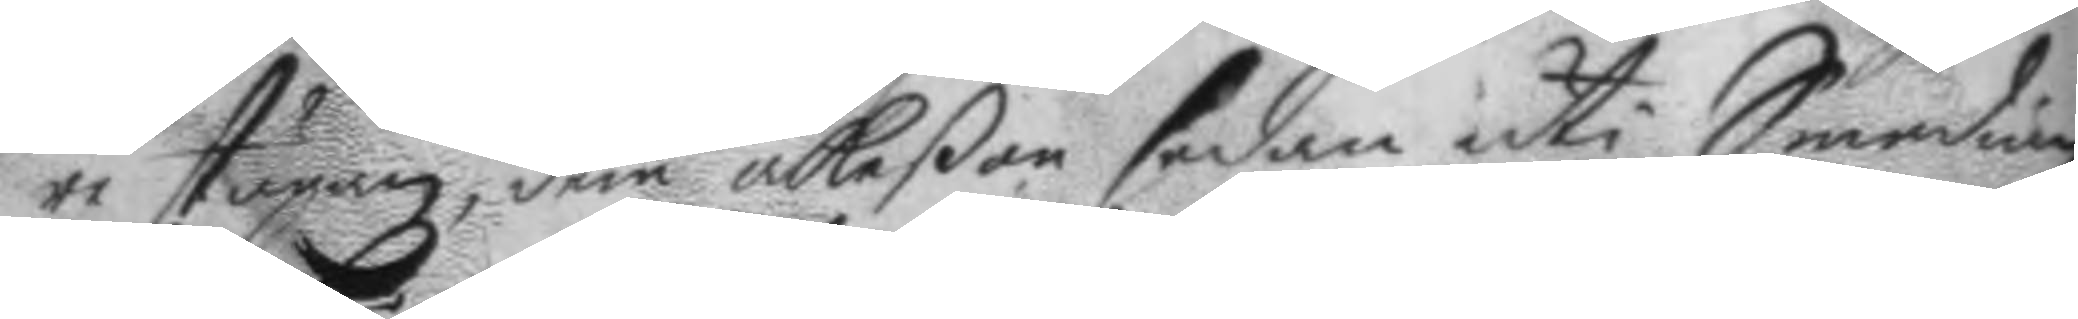re stugan, dem åkeßon sedan uti Smedian
